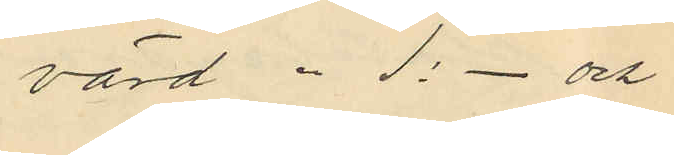värd " 1:- och
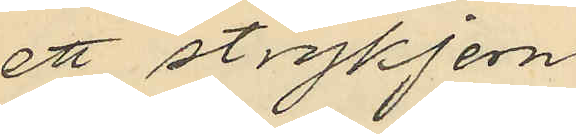ett strykjern
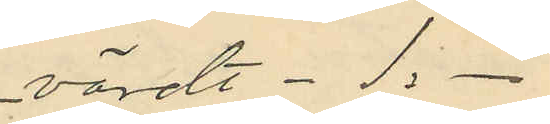värdt " 1:-
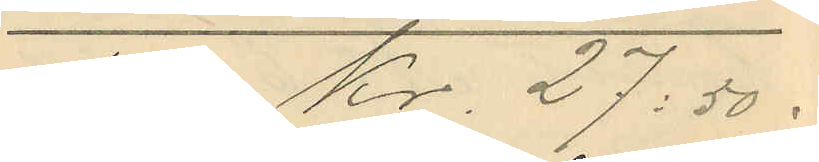Sma Kr. 27:50; 
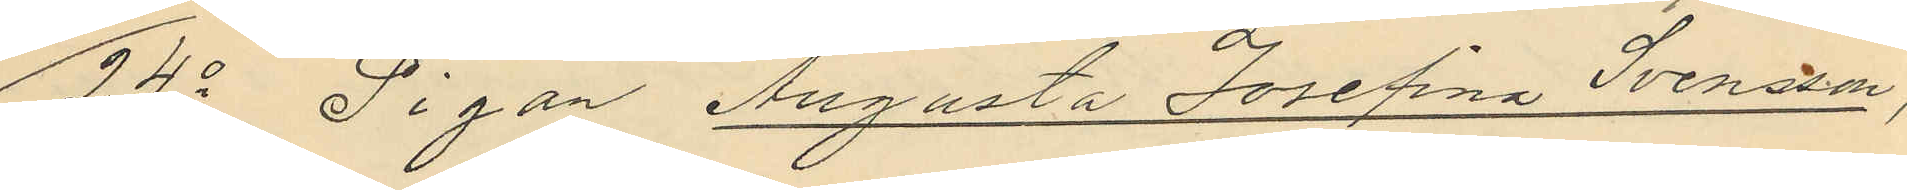24o Pigan Augusta Josefina Svensson,
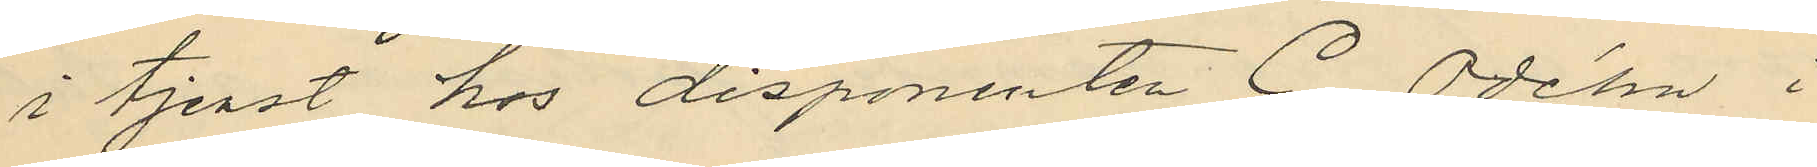i tjenst hos disponenten C. Odéhn i
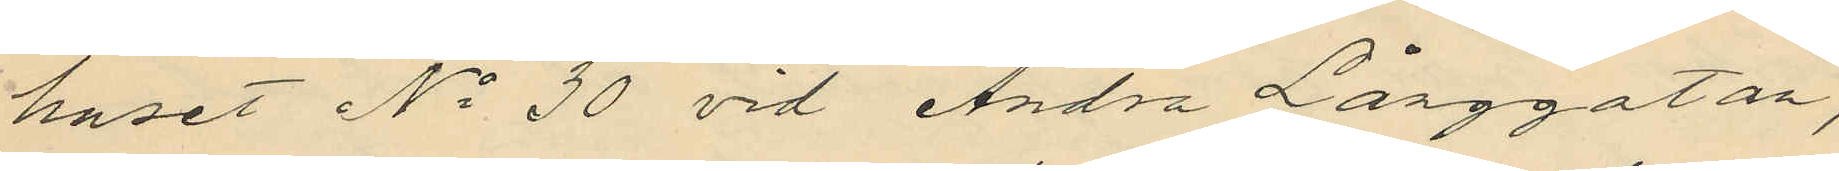huset No 30 vid Andra Långgatan,
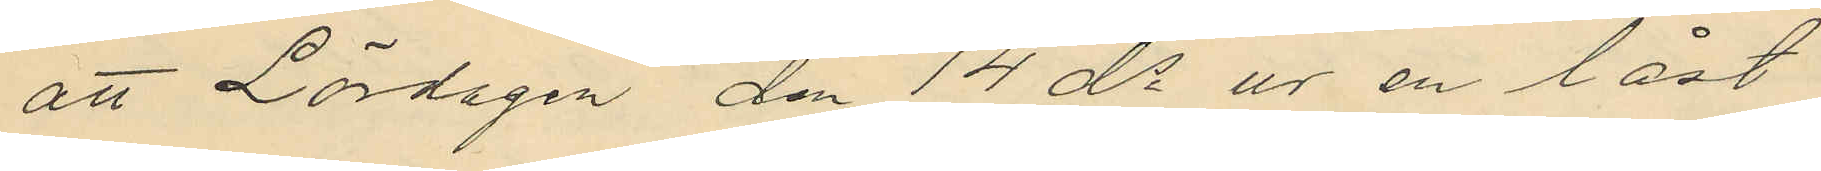att Lördagen den 14 ds ur en låst
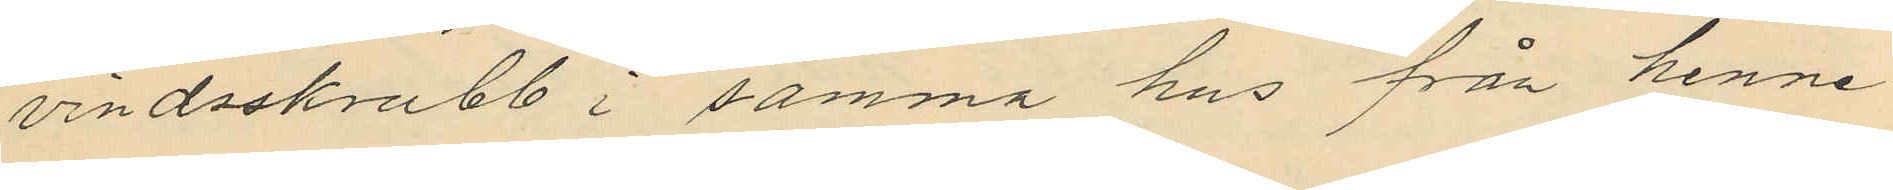vindsskrubb i samma hus från henne
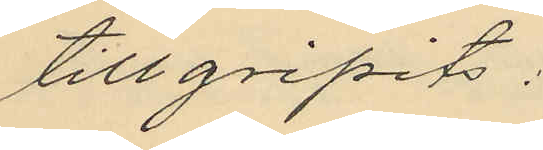tillgripits:
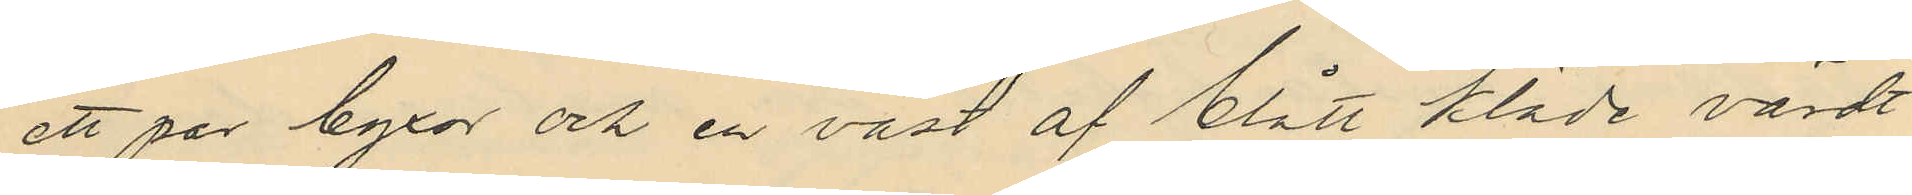ett par byxor och en väst af blått kläde, värdt
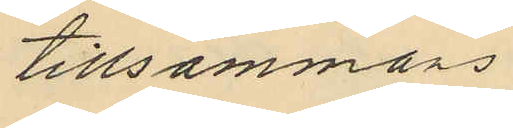tillsammans
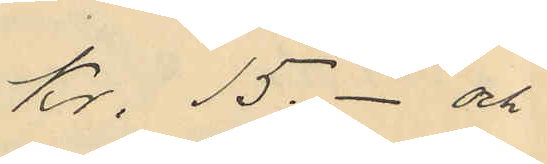Kr. 15.- och
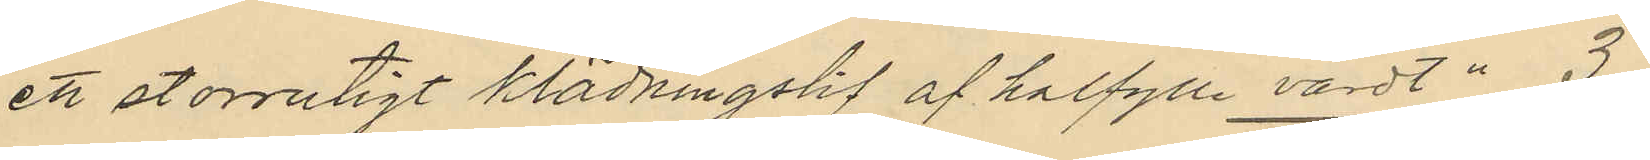ett storrutigt klädningslif af halfylle värdt " 3
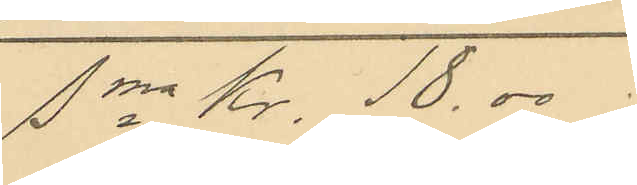Sma Kr. 18.00;
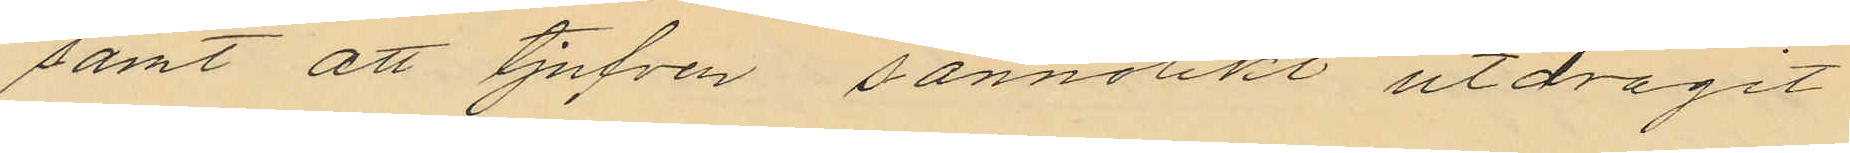samt att tjufven sannolikt utdragit
